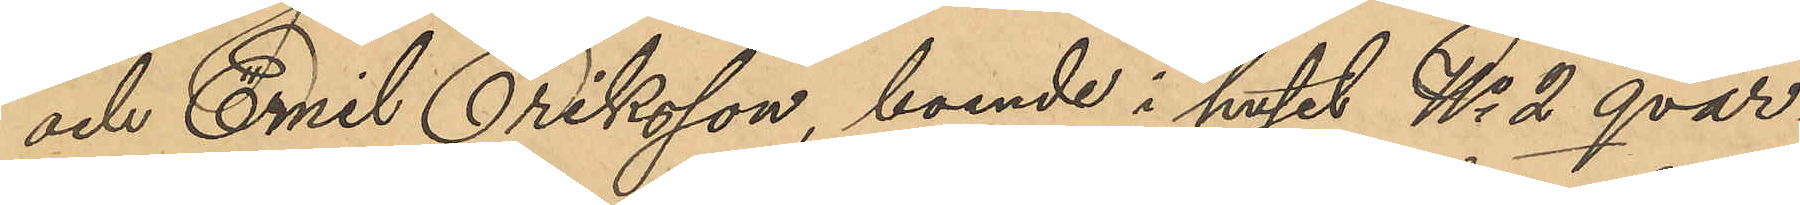och Emil Eriksson, boende i huset No 2 qvar¬
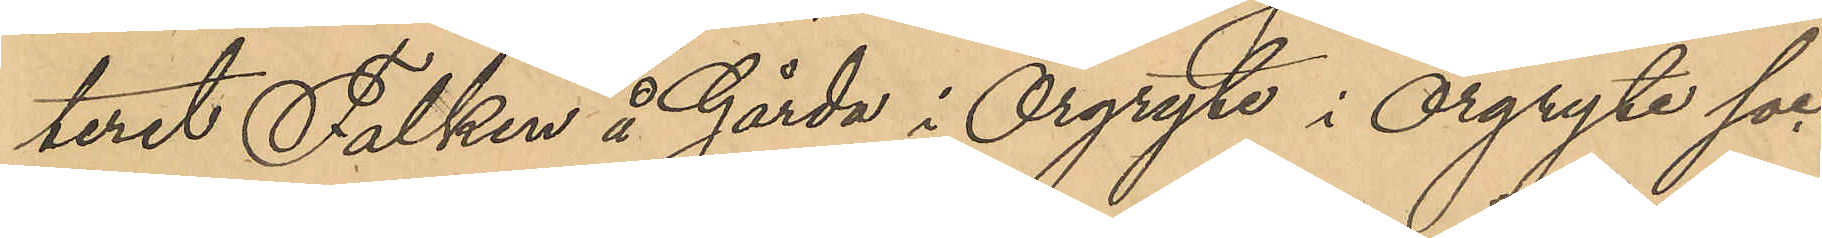teret Falken å Gårda i Örgryte i Örgryte soc¬
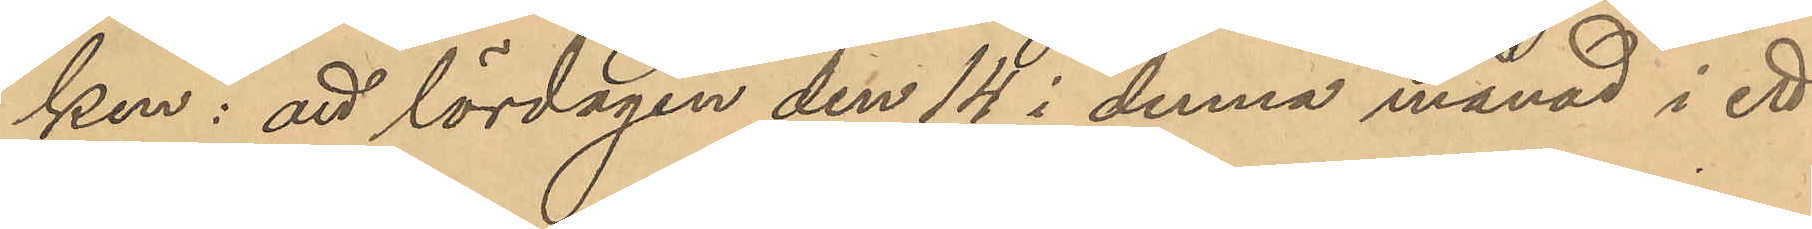ken: att lördagen den 14 i denna månad i ett
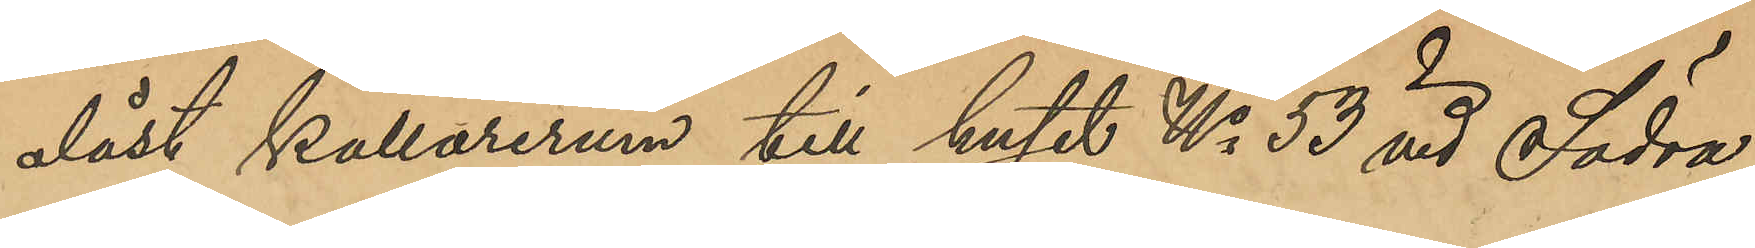olåst källarrum till huset No 53 vid Södra
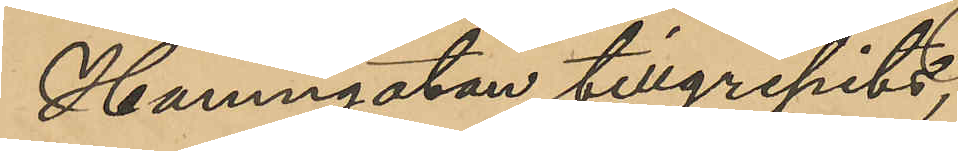Hamngatan tillgripits,
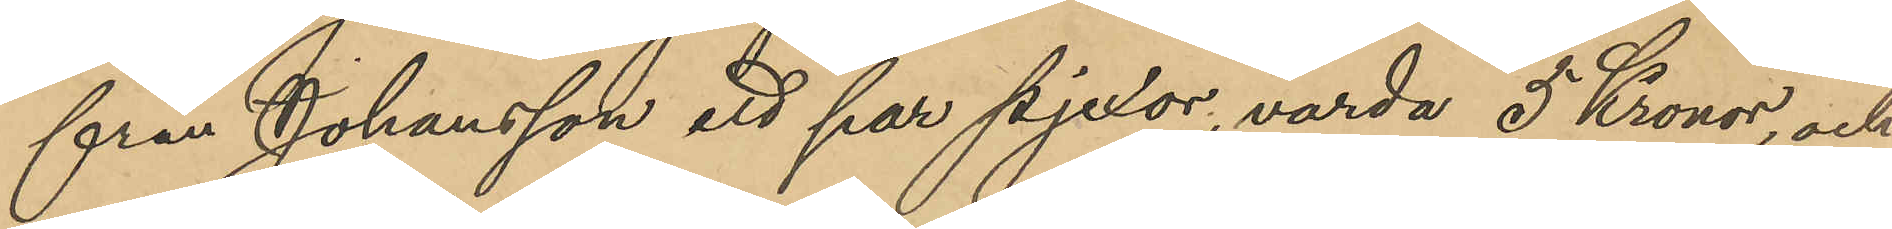från Johansson ett par pjexor, värda 5 Kronor, och
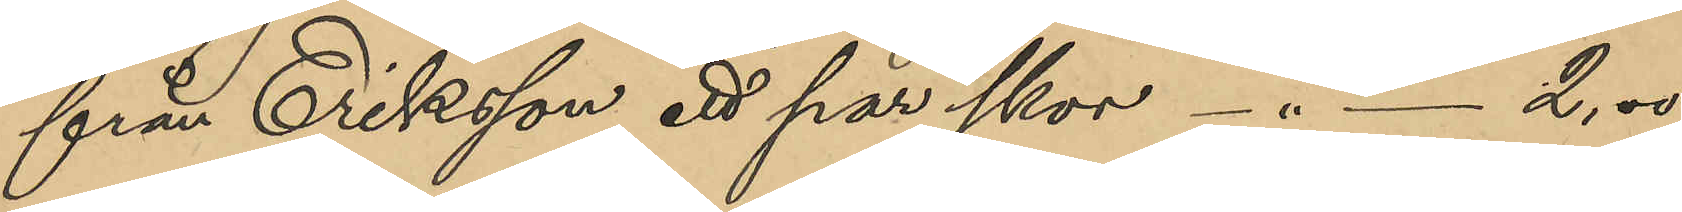från Eriksson ett par skor - " - 2,00
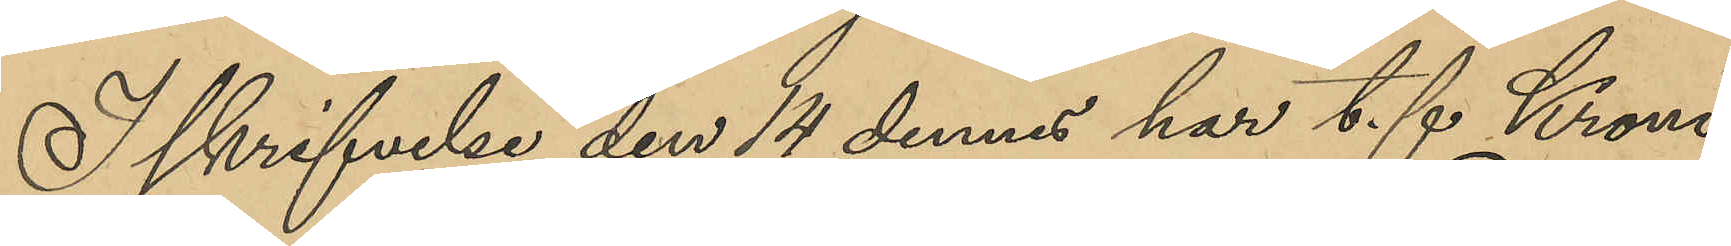I skrivelse den 14 dennes har t. f. Krono¬
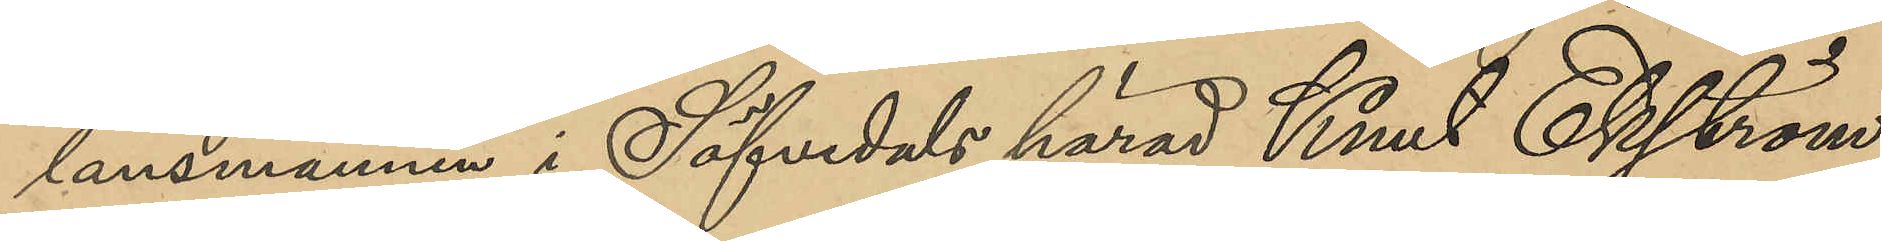länsmannen i Säfvedals härad Knut Elfström
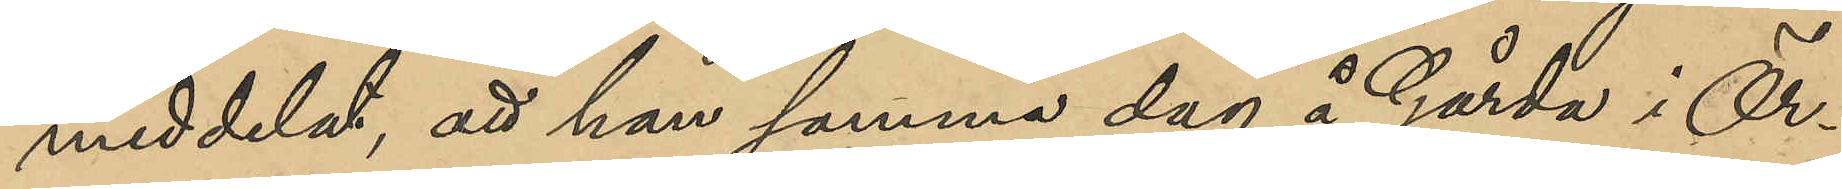meddelat, att han samma dag å Gårda i Ör¬
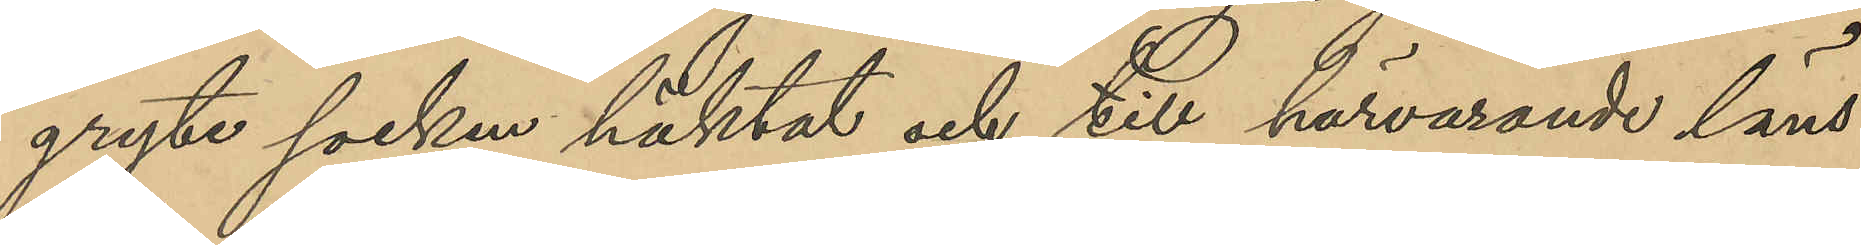gryte socken häktat och till härvarande läns¬
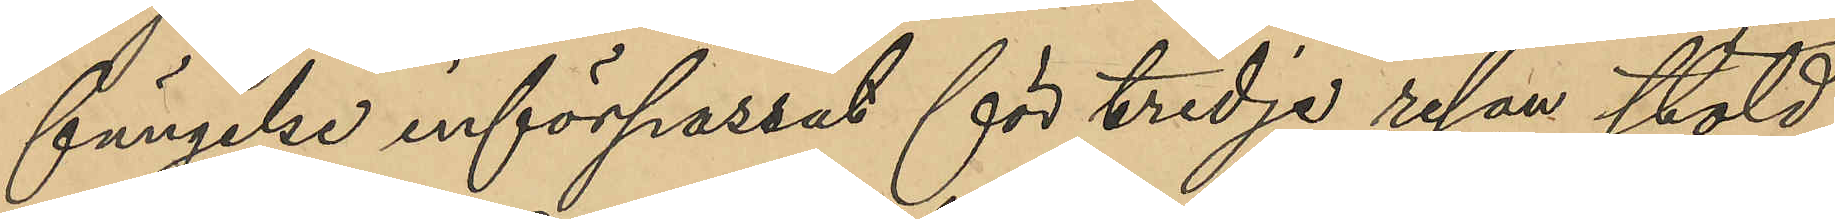fängelse införpassat för tredje resan stöld
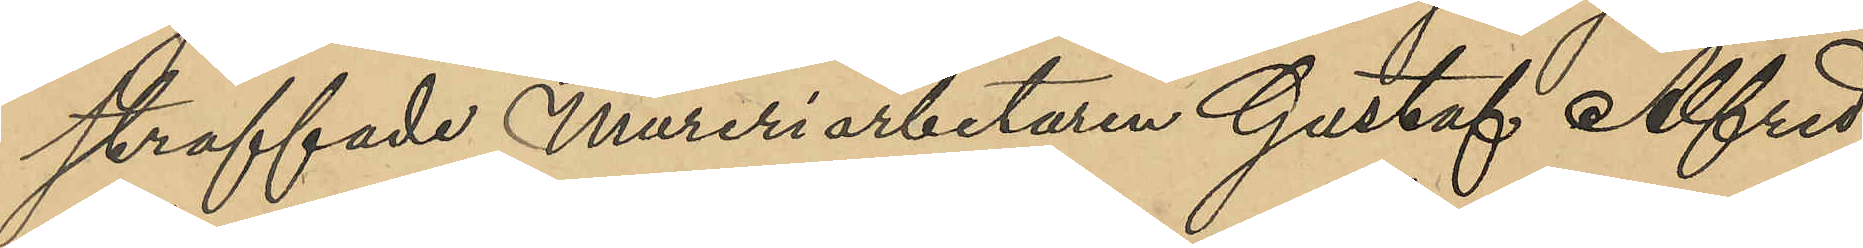straffade Mureriarbetaren Gustaf Alfred
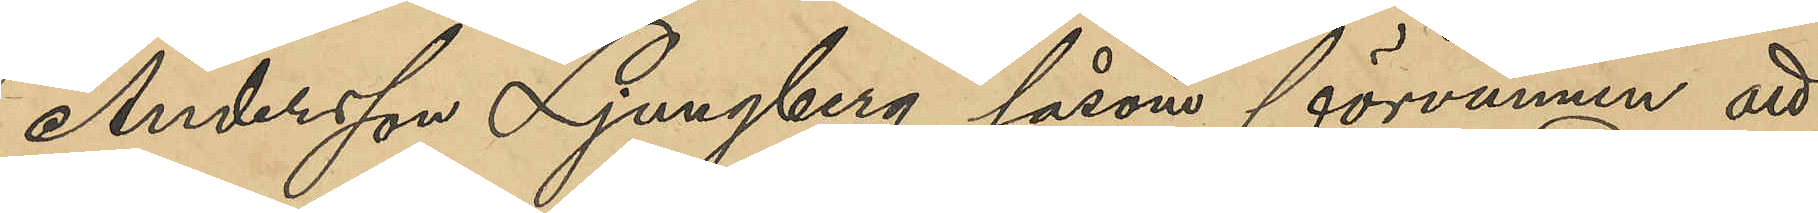Andersson Ljungberg såsom förvunnen att
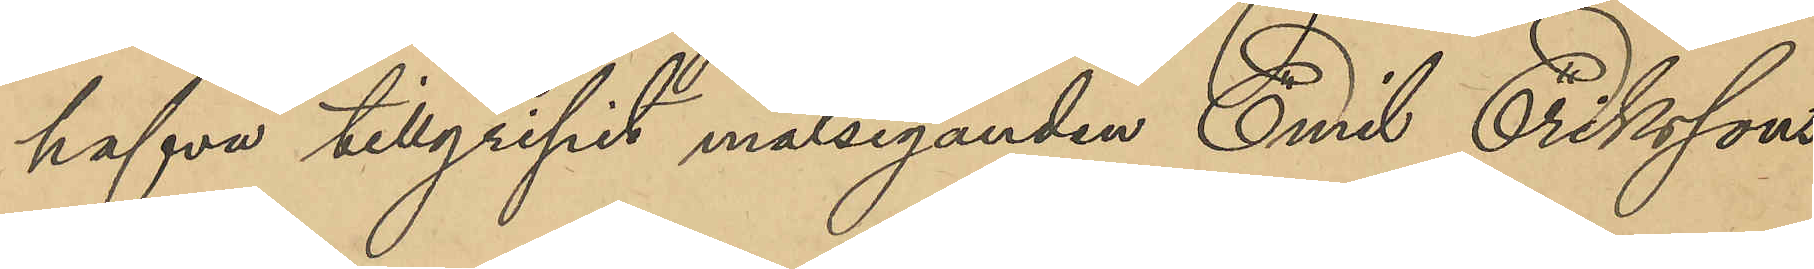hafva tillgripit målseganden Emil Erikssons
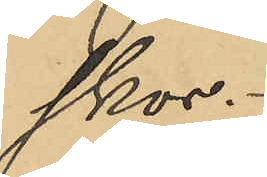skor.
